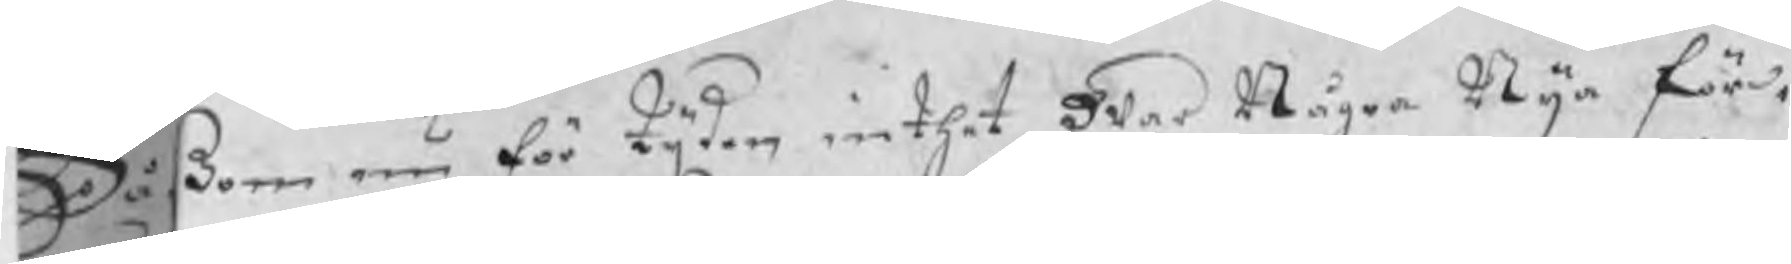Såßom nu för tijden inthet war Några Nya för¬
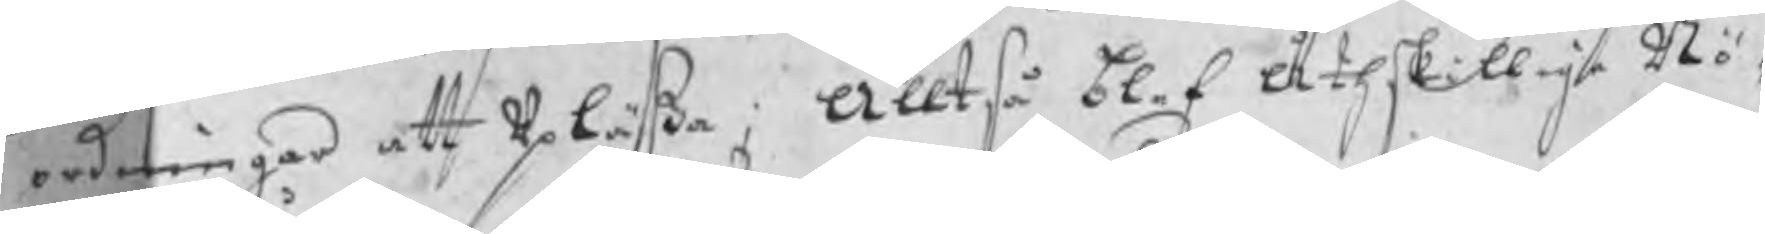ordningar att upläßa; Alltså blef åtskillige Nö¬
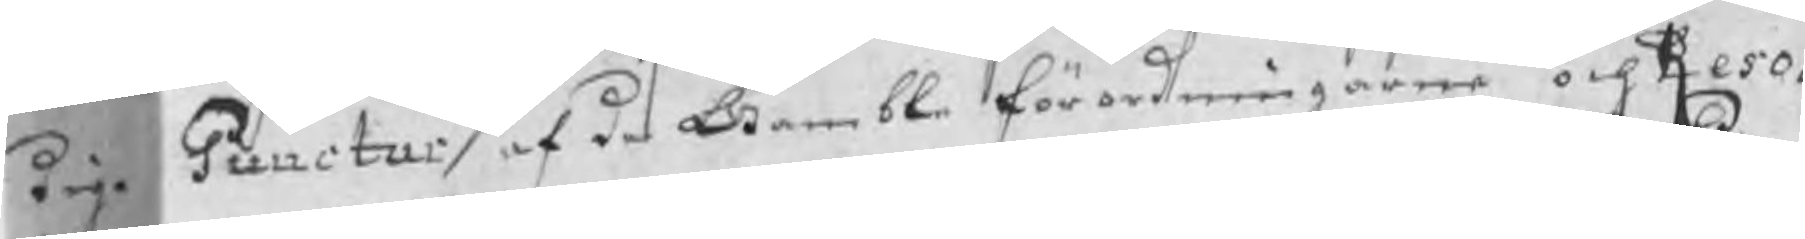dige Puncter af de Gamble förordningarne och Reso¬
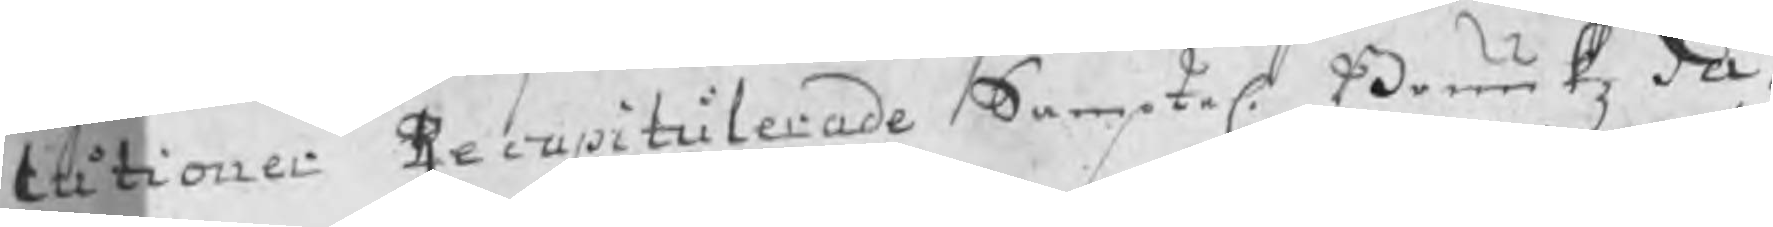lutionerne Recapitulerade Samptel. Bruukz Pa¬
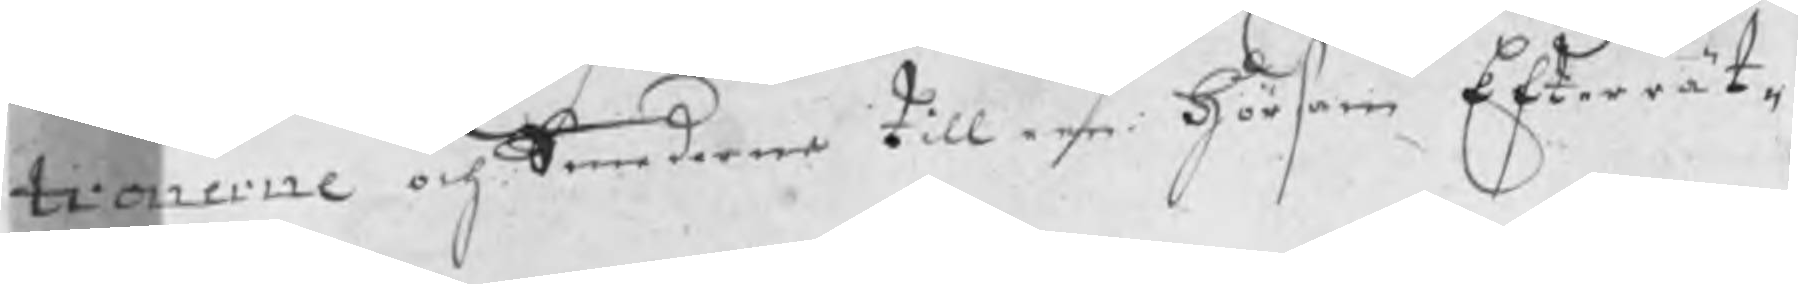tronerne och Smederne till een hörsam Efterrät¬
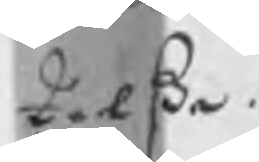telse.
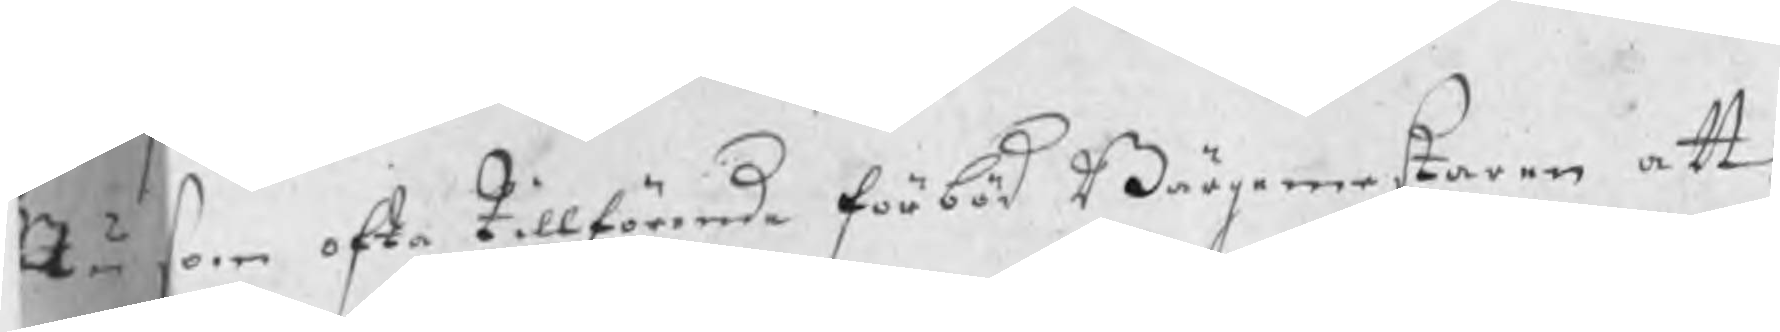Nu som ofta tillförande förböd Bärgmestaren att
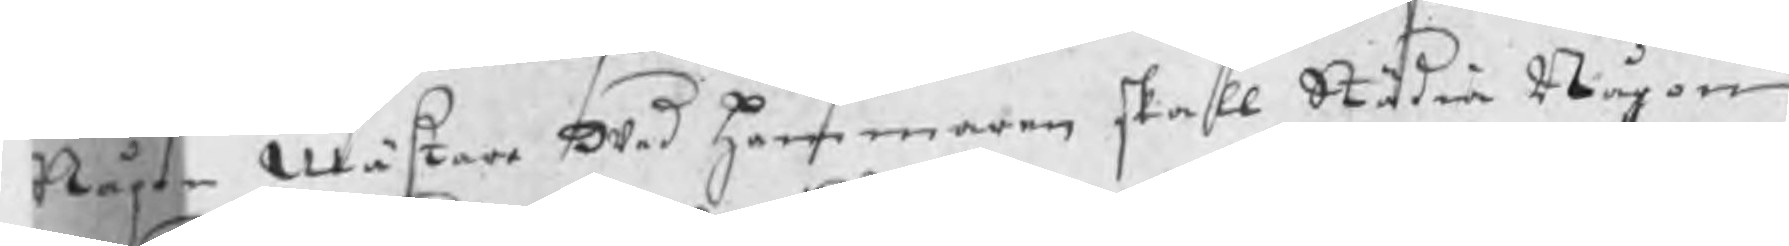Någon Mästare wed Hammaren skall Städia Någon
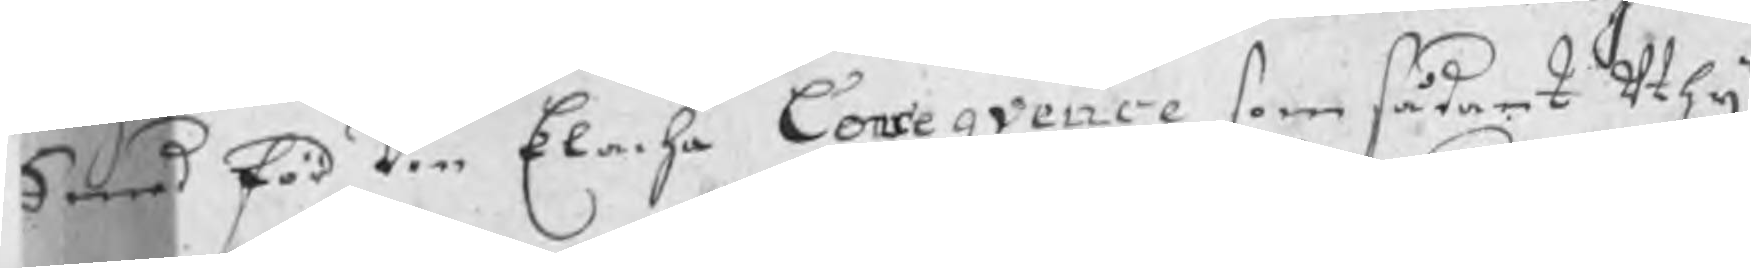Smed för den Elacha Conceqvence som sådant uthij
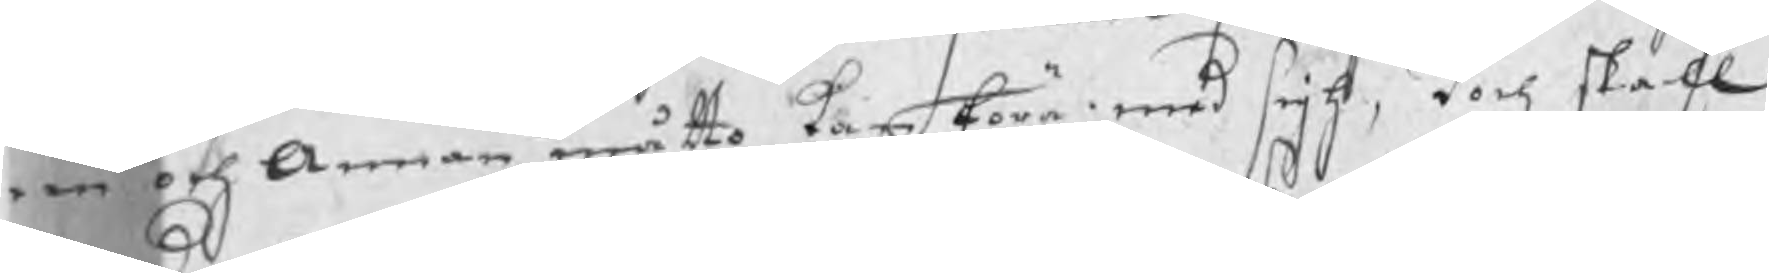een och annan måtto kan föra med sigh, doch skall
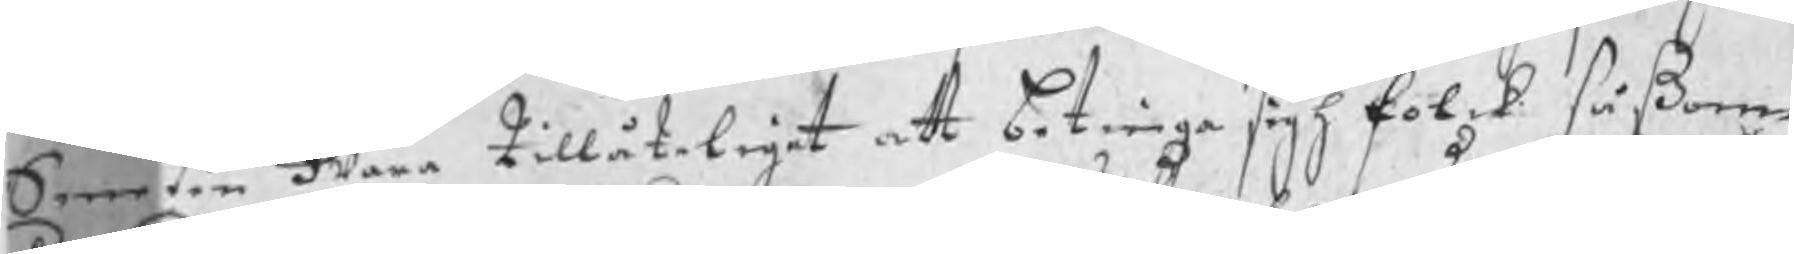Smeden wara tillåteliget att betinga sigh folck såßom
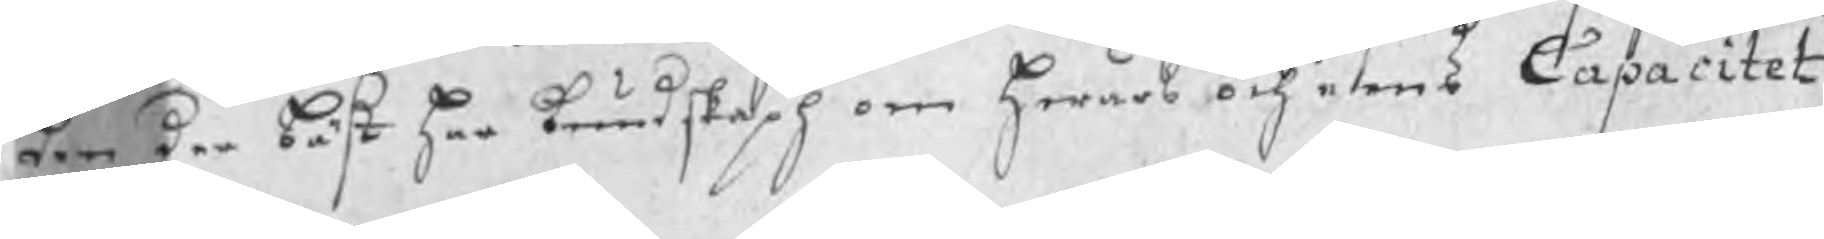den der bäst har kundskaph om hwars och eens Capacitet
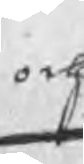och
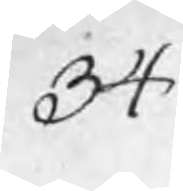34
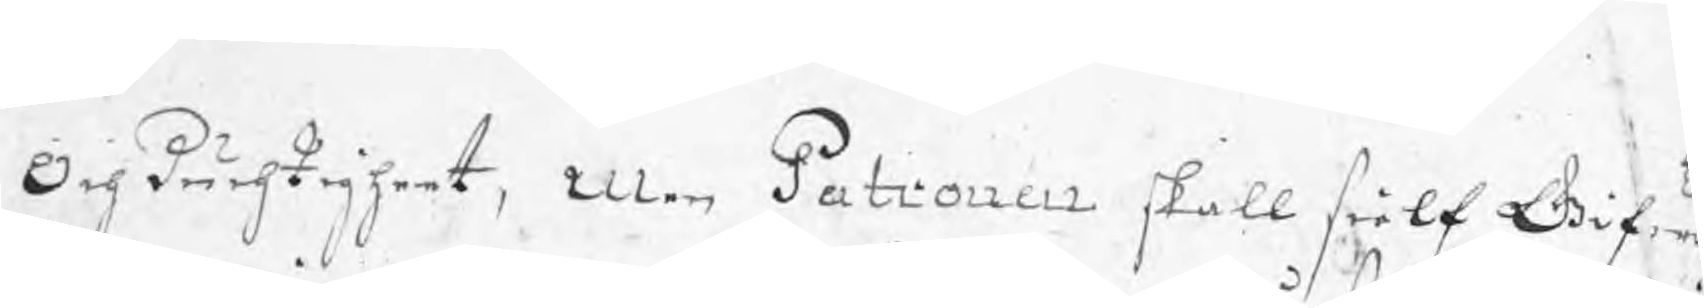Och duchtigheet, men Patronen skall sielf Gifwa
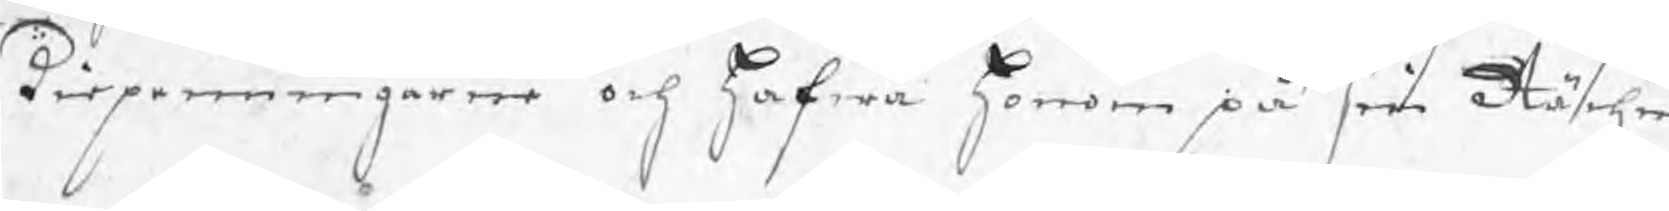dirpenningarne och hafwa honom på sin Rächnin
